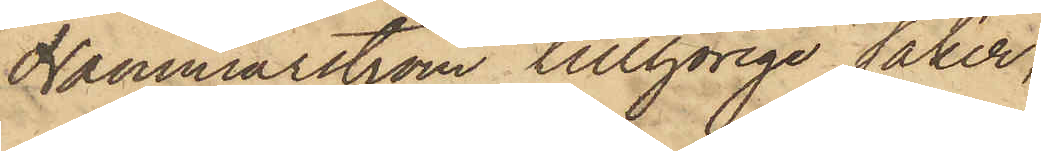Hammarström tillhörige saker,
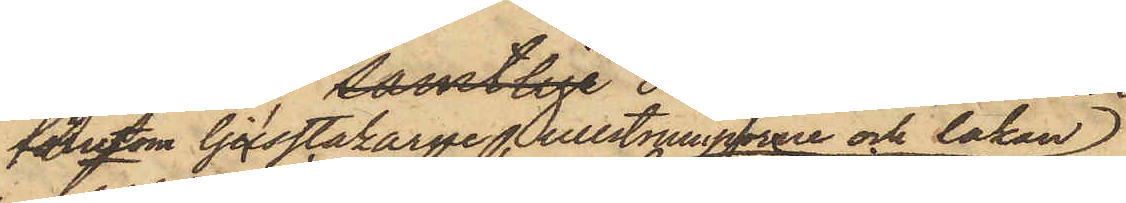förutom ljusstakarne, ullstrumporne och lakan
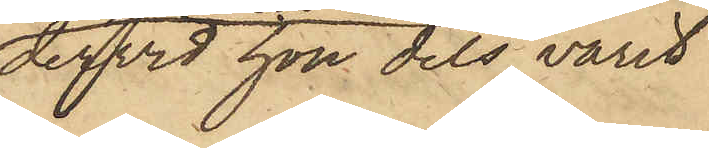dervid hon dels varit
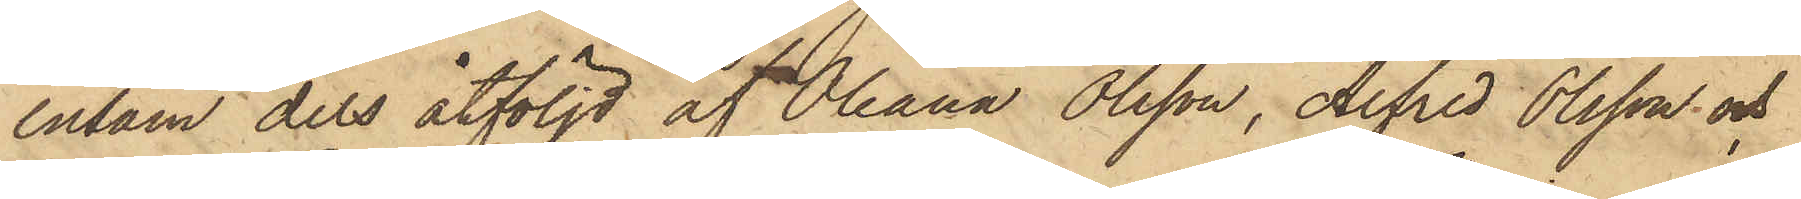ensam dels åtföljd af Oleana Olsson, Alfred Olsson och
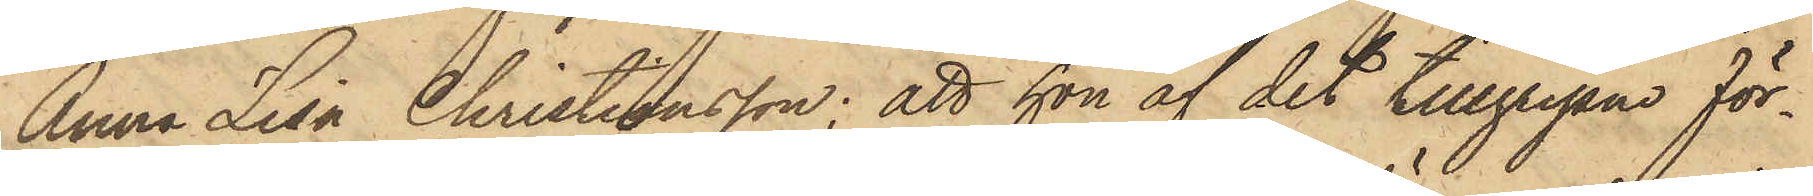Anna Lisa Christiansson; att hon af det tillgripne för¬
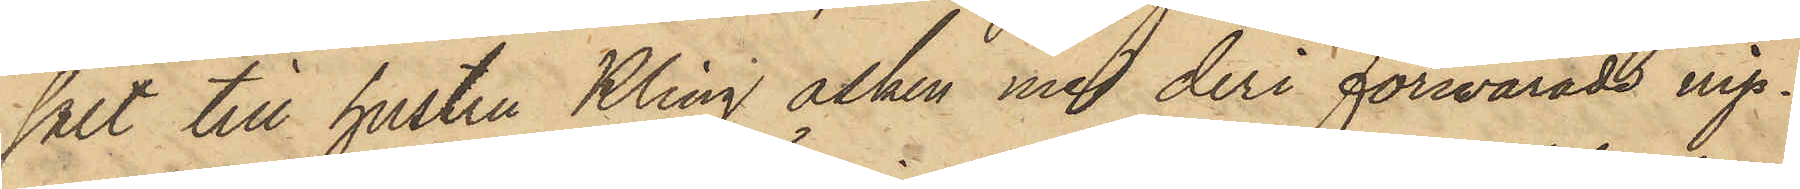sålt till hustru Kling asken med deri förwarade nip¬
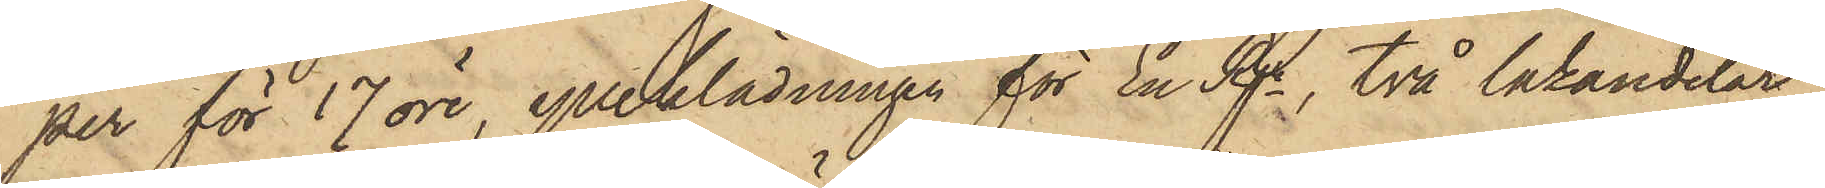per för 17 öre, ylleklädningen för En Rgr, två lakandelar
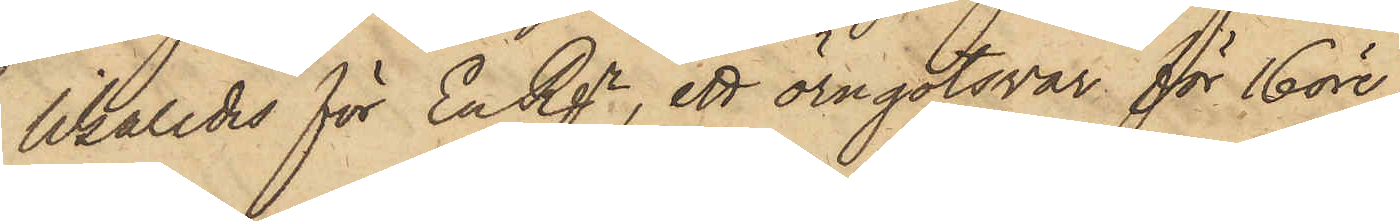likaledes för En Rgr, ett örngotsvar för 16 öre,
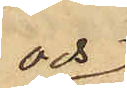och
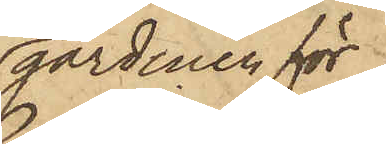gardinen för
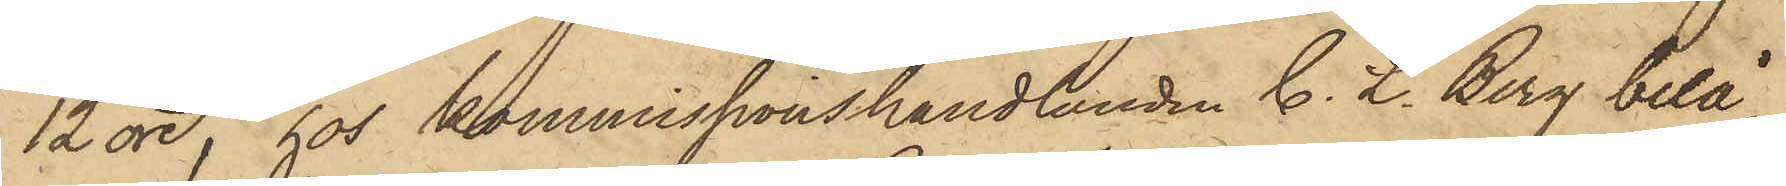12 öre, hos kommissionshandlanden C. L. Berg belå¬
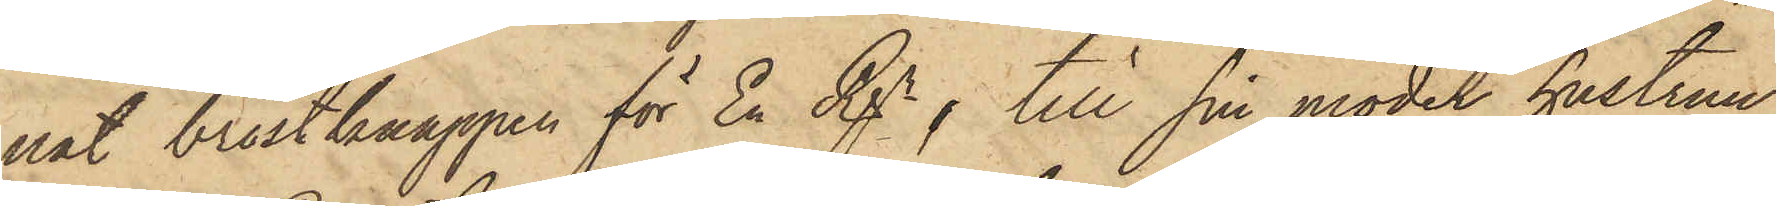nat bröstknappen för En Rgr, till sin moder hustrun
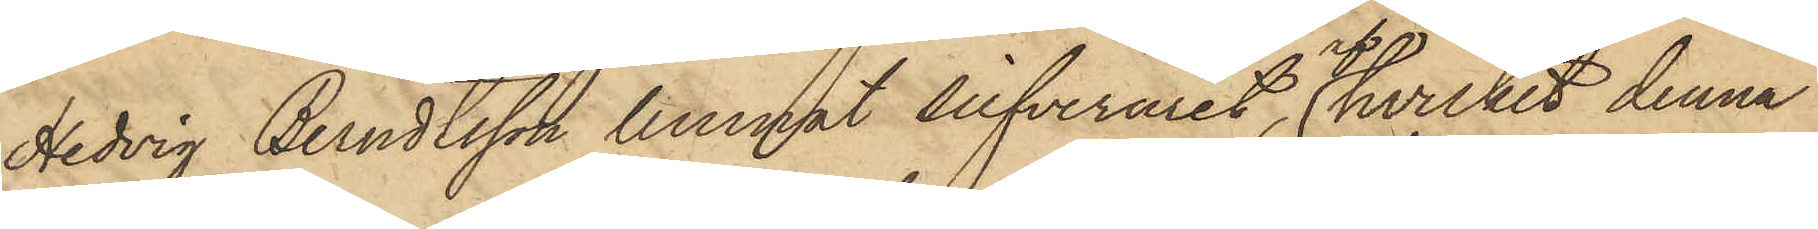Hedvig Berndtsson lemnat silfveruret, af hvilket denna
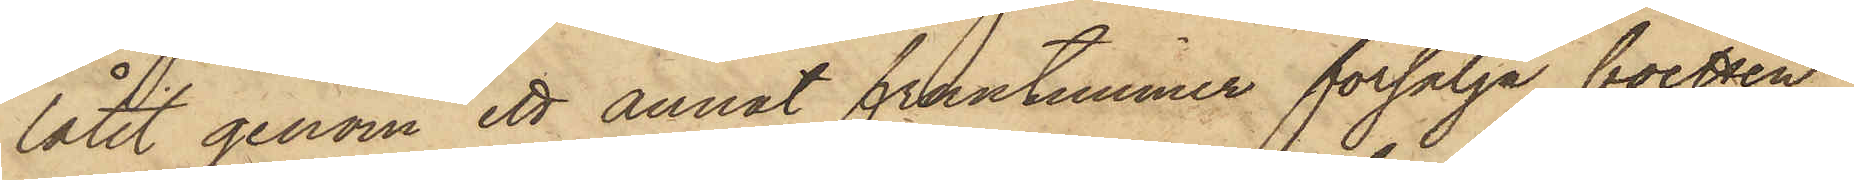låtit genom ett annat fruntimmer försälja boetten
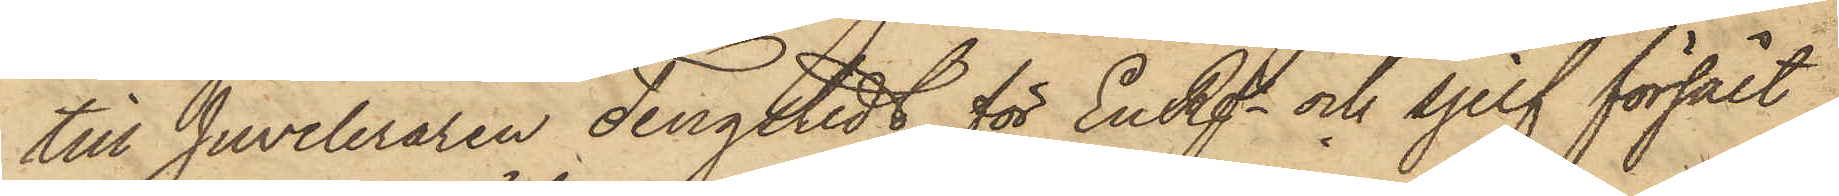till Juveleraren Tengstedt för En Rgr och sjelf försålt
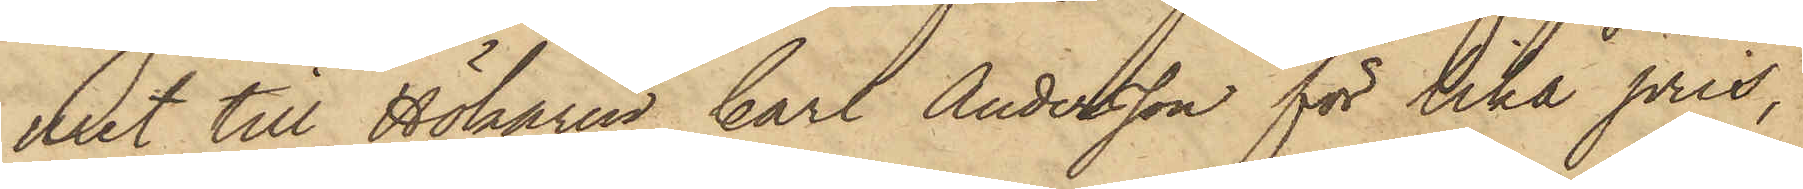uret till Hökaren Carl Andersson för lika pris,
